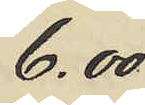6.00
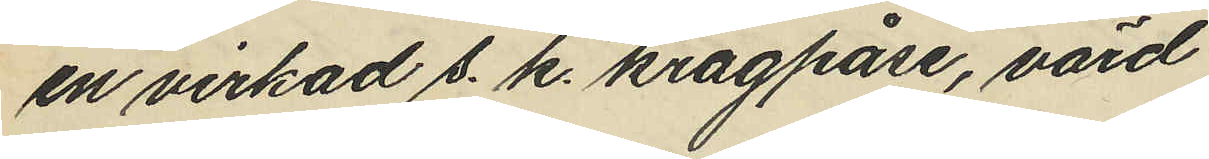en virkad s. k. kragpåse, värd
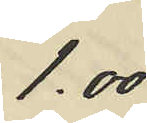1.00
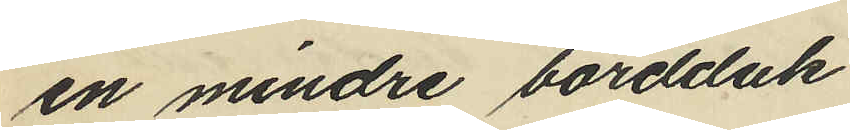en mindre bordduk
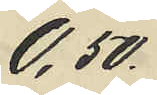0,50
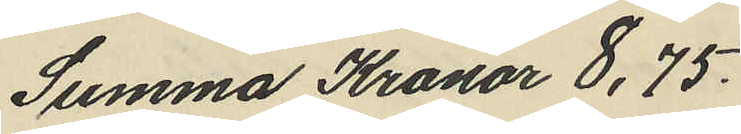Summa Kronor 8,75.
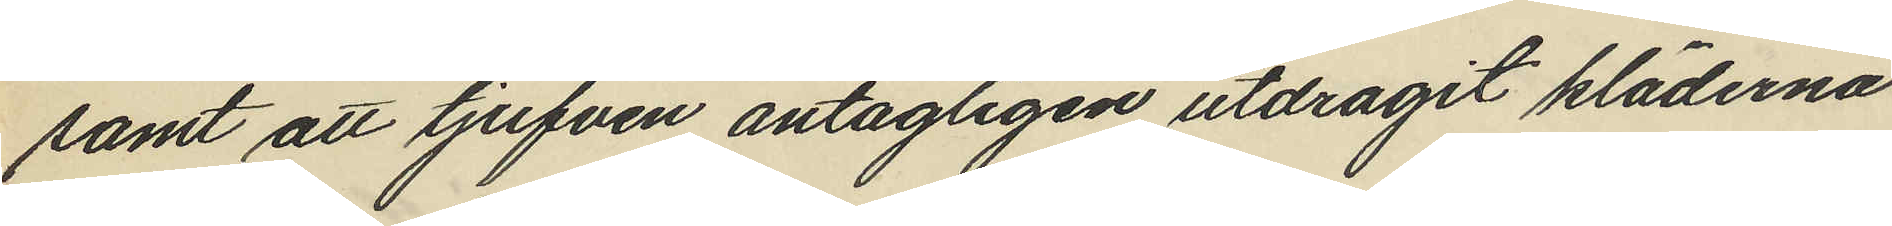samt att tjufven antagligen utdragit kläderna
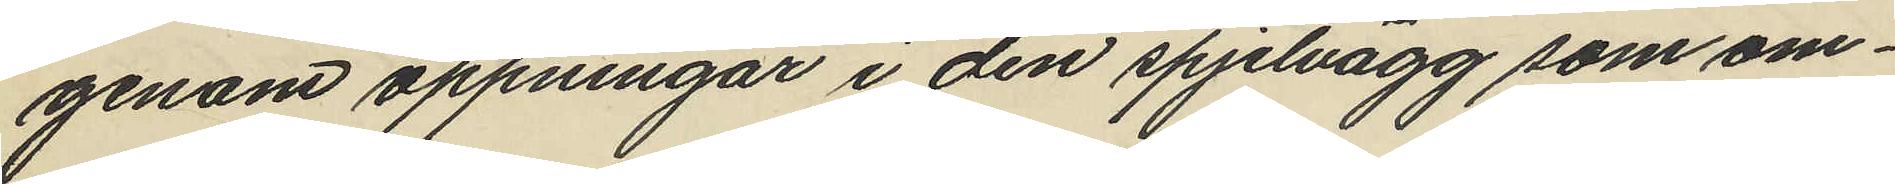genom öppningar i den spjelvägg som om¬
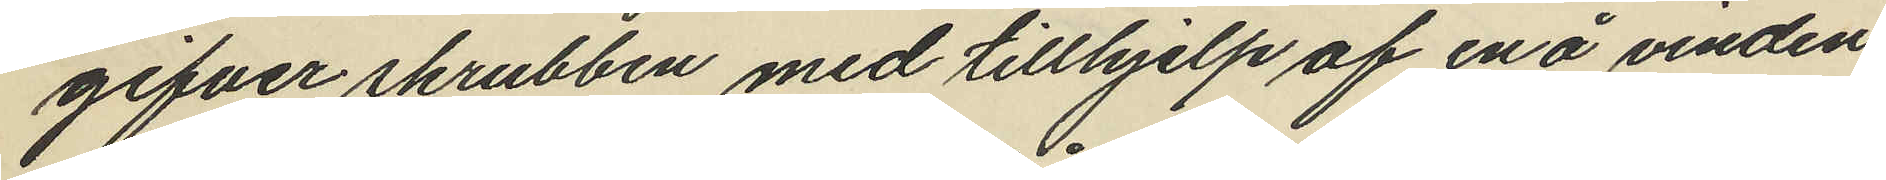gifver skrubben med tillhjelp af en å vinden
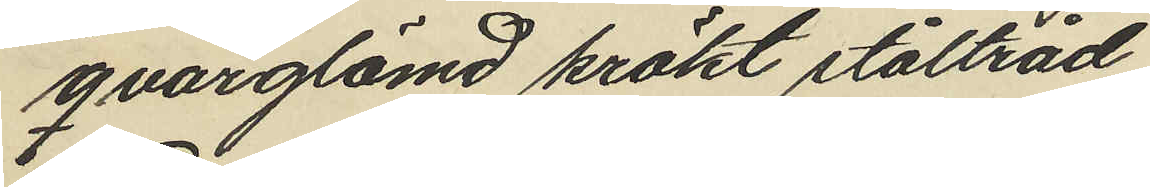qvarglömd krökt ståltråd
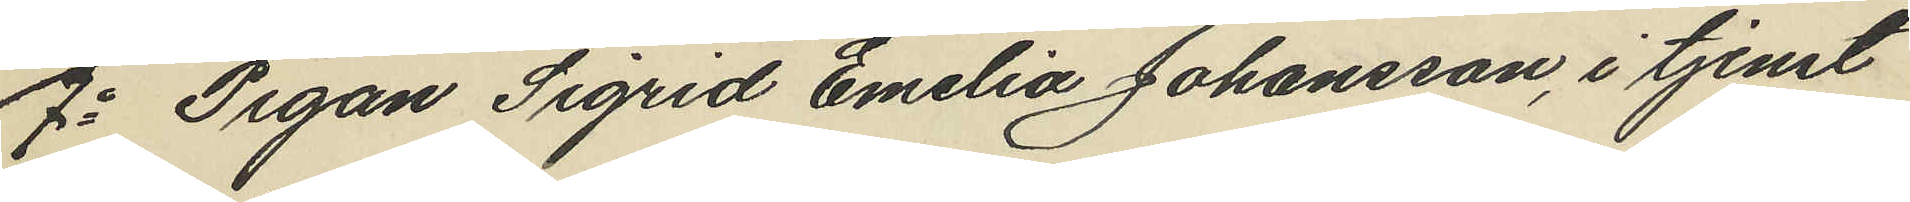7o Pigan Sigrid Emelia Johansson, i tjenst
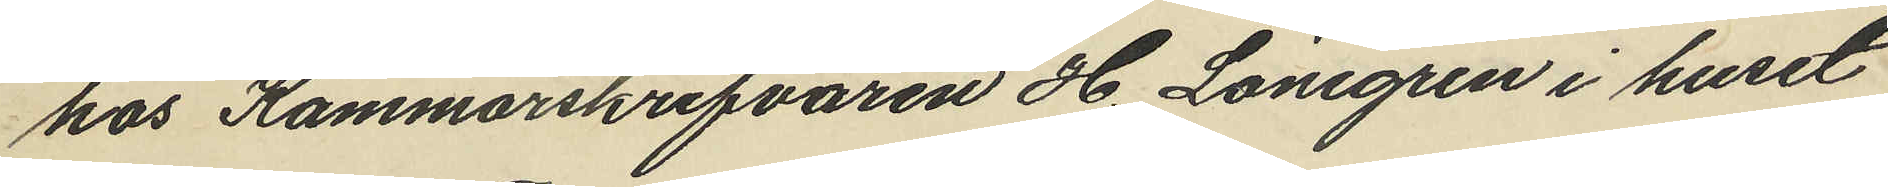hos Kammarskrifvaren H. Lönegren i huset
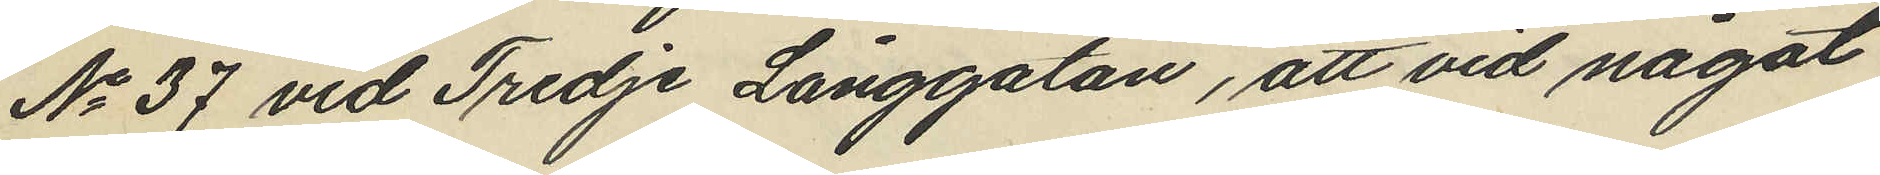No 37 vid Tredje Långgatan, att vid något
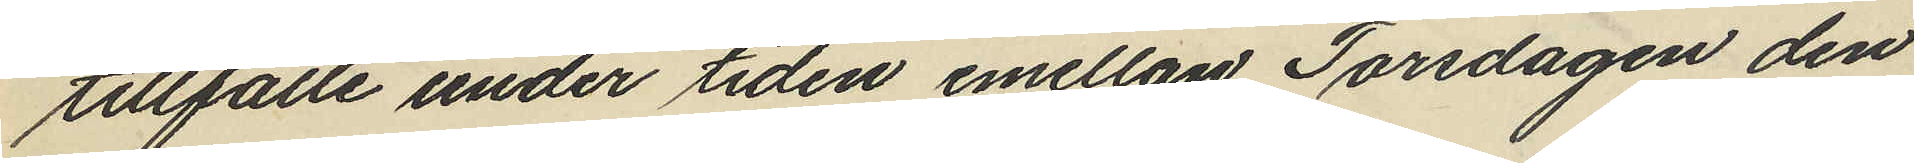tillfälle under tiden emellan Torsdagen den
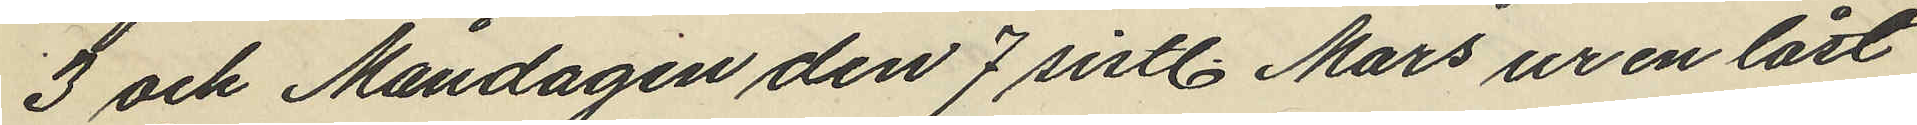3 och Måndagen den 7 sistl. Mars ur en låst
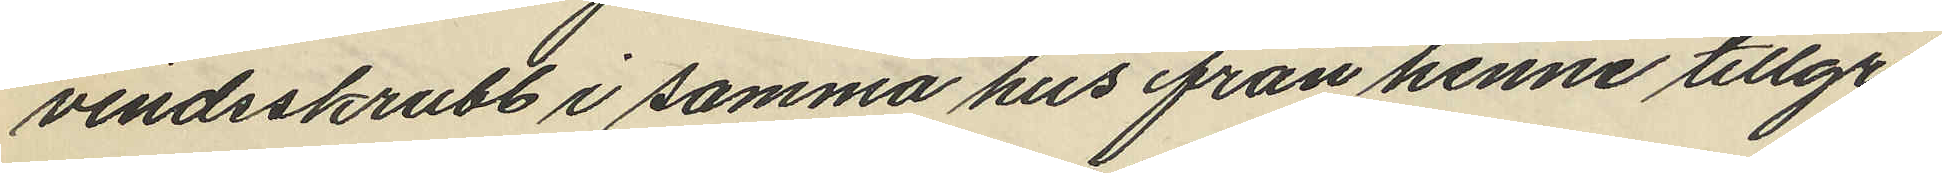vindsskrubb i samma hus från henne tillgri¬
